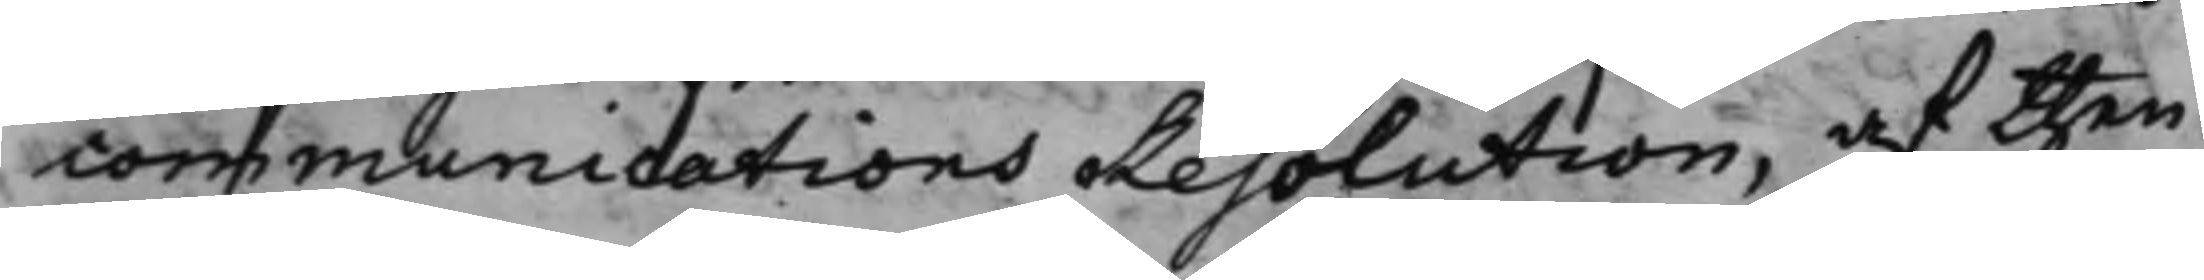communications resolution, af then
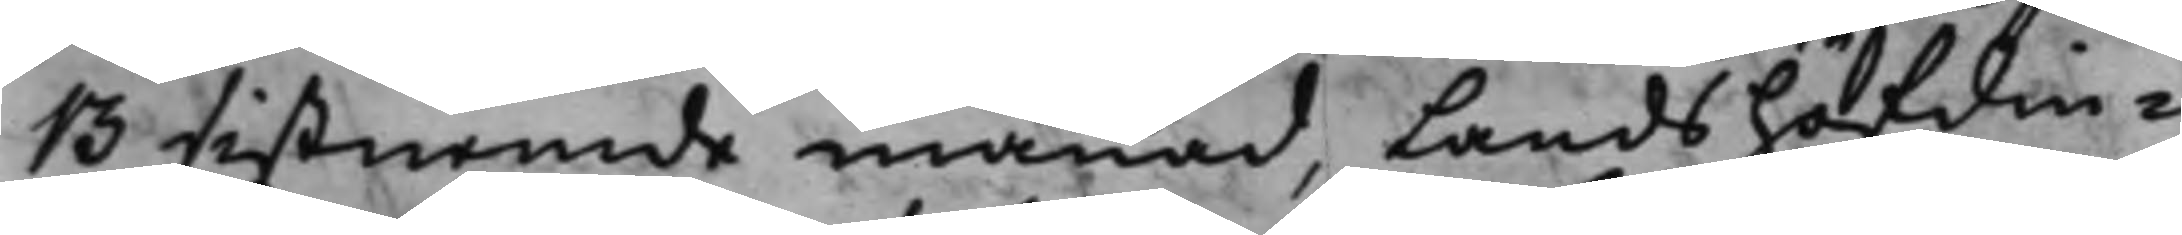13 sistnemde månad, Landshöfdin¬
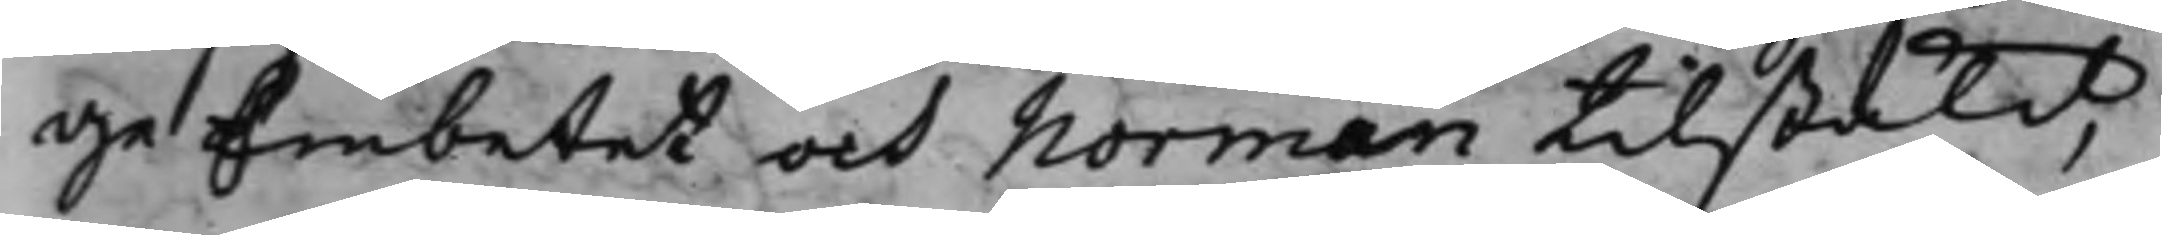ge Embetet och Norman tilstäld,
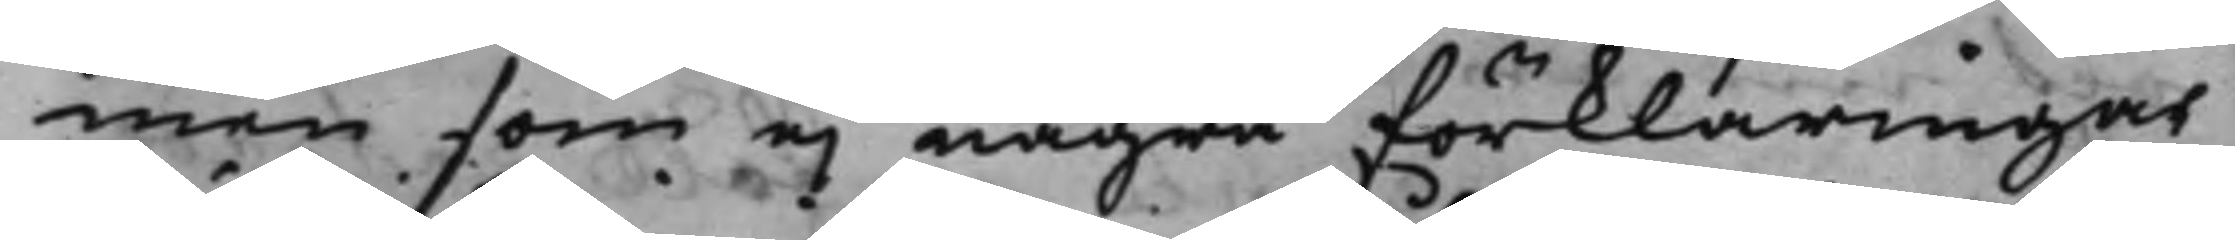men som ej några förklaringar
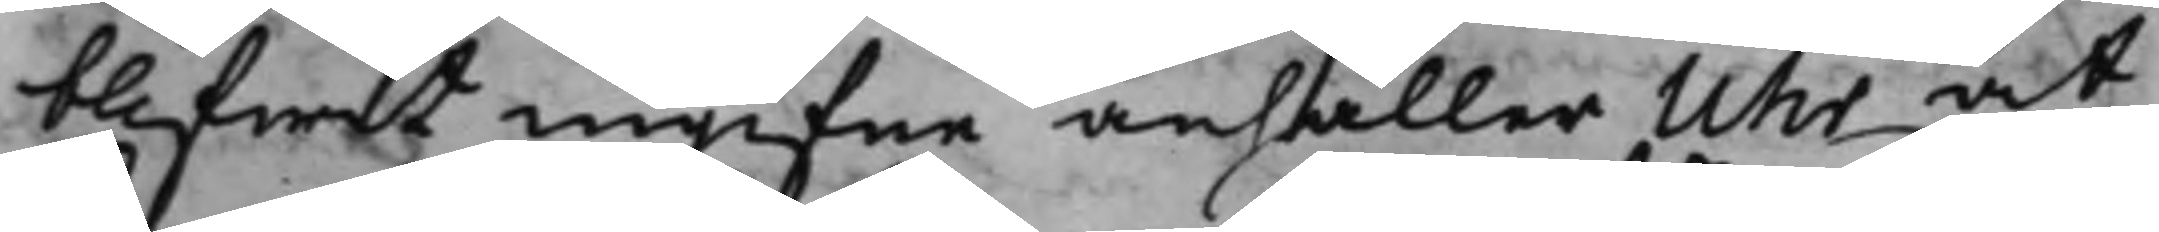blifwit ingifne anhåller Uhr at
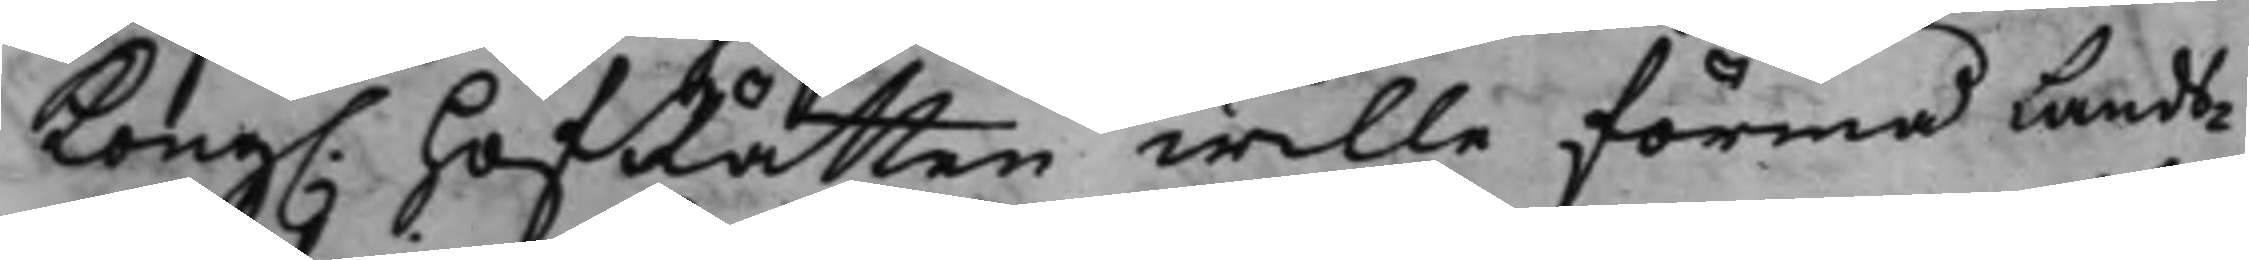Kong. HofRätten wille förmå Lands¬
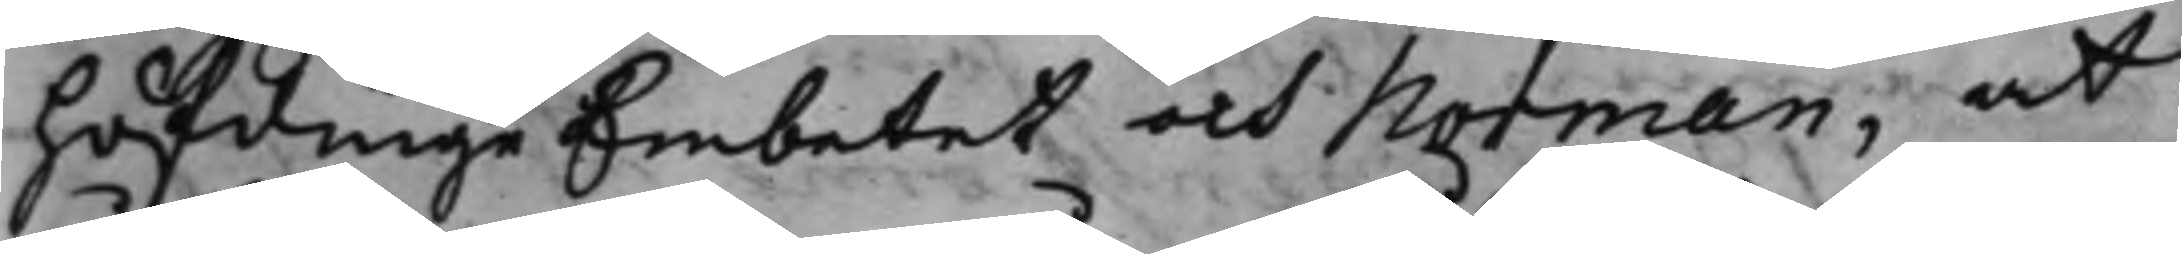höfdinge Embetet och Norman, at
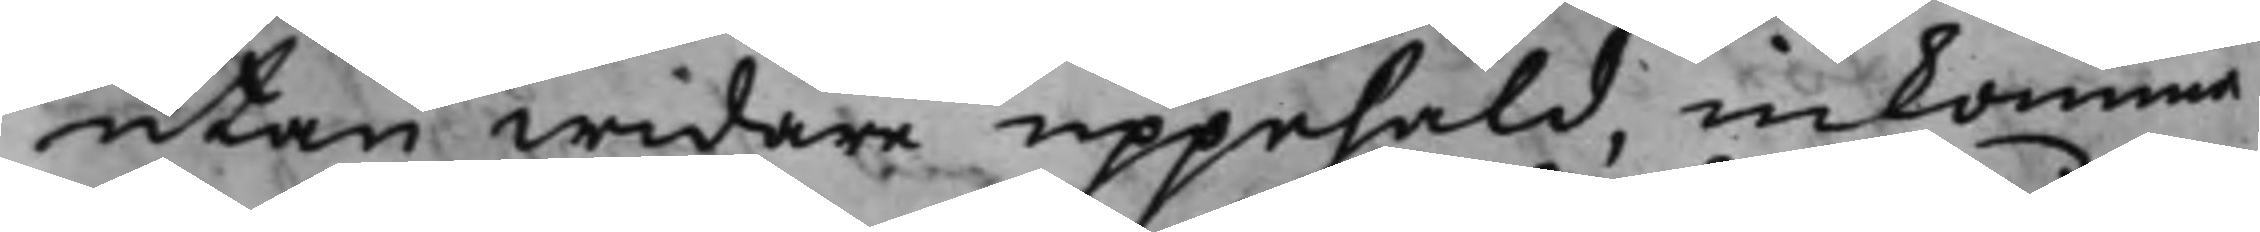utan widare uppehåld, inkomma
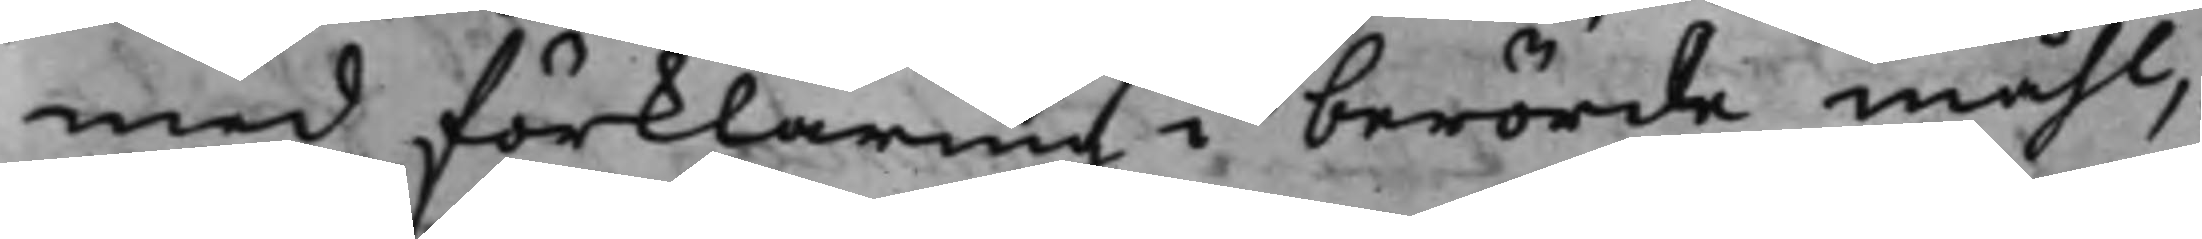med förklaring i berörde måhl,
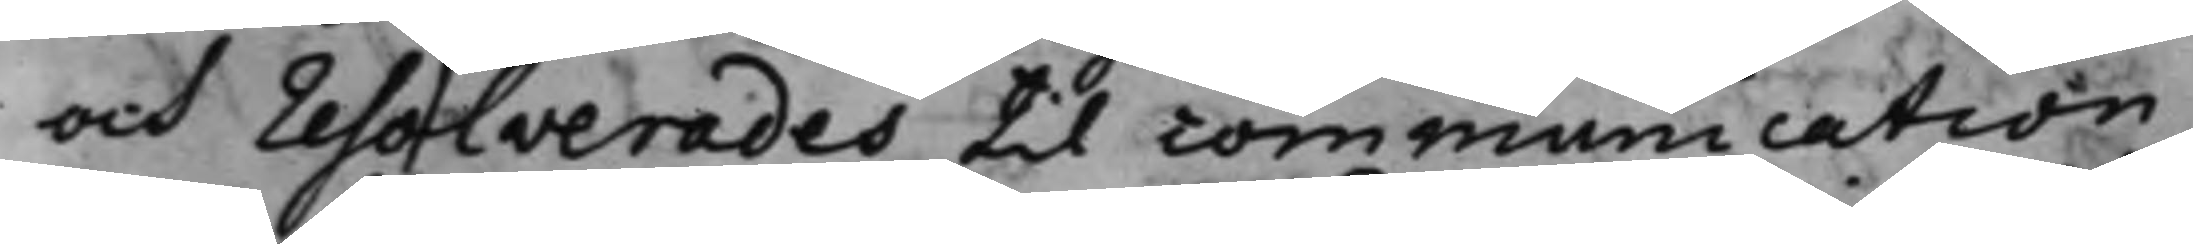och resolverades till communication
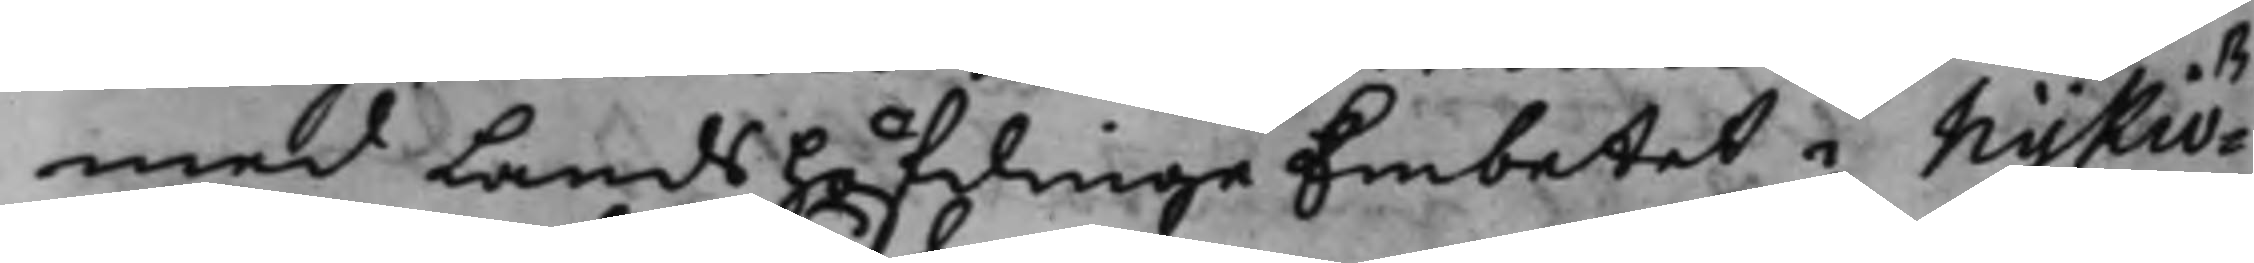med Landshöfdinge Embetet i Nykiö¬
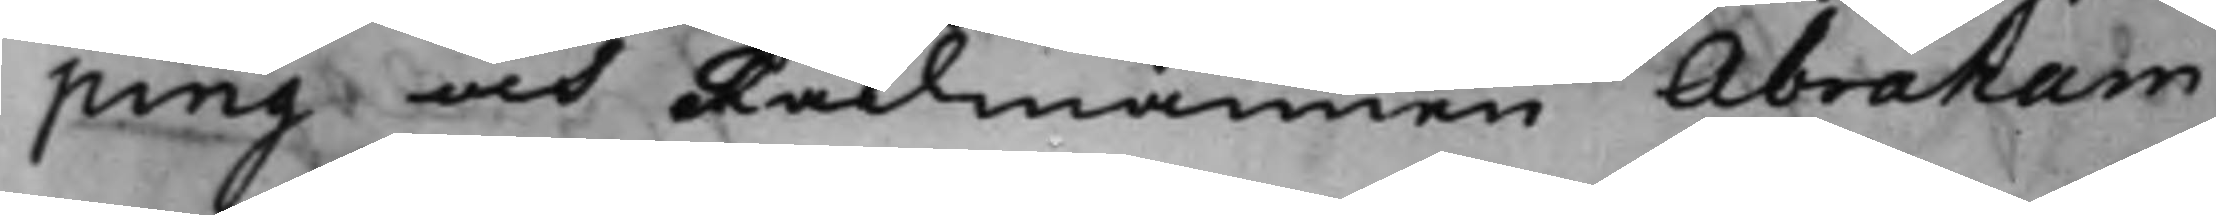ping och Rådmannen Abraham
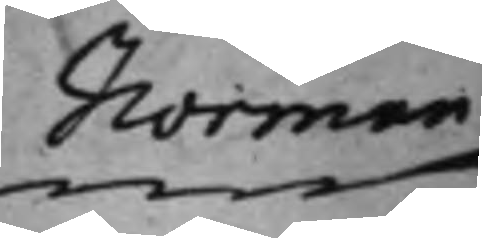Norman
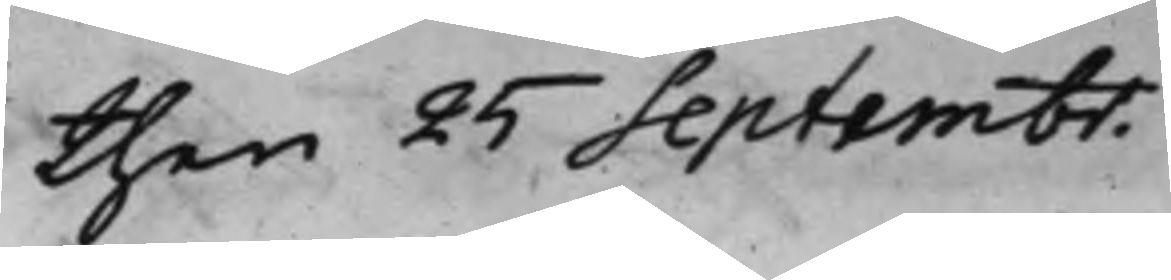then 25 Septembr.
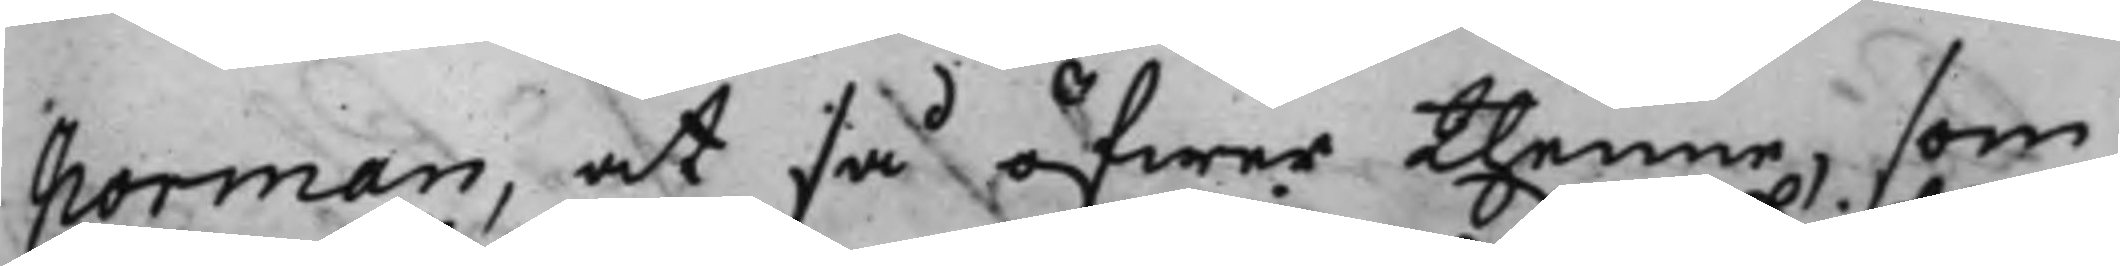Norman, at så öfwer thenne, som
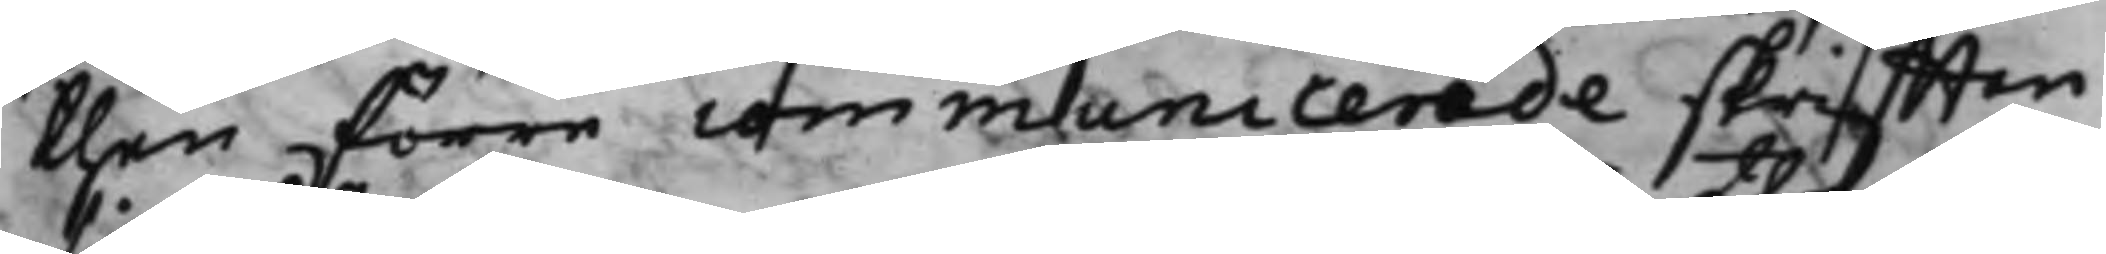then förre communicerade skrifften
